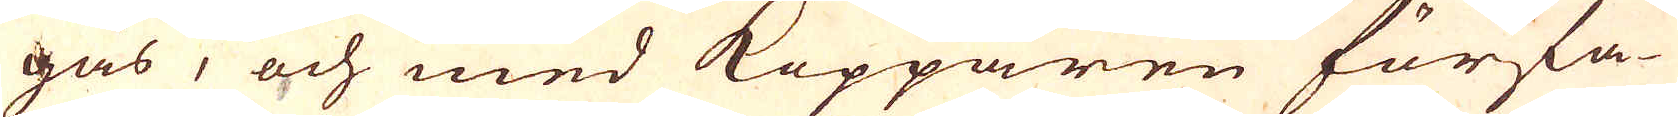gas, och med Kopparen förfa-
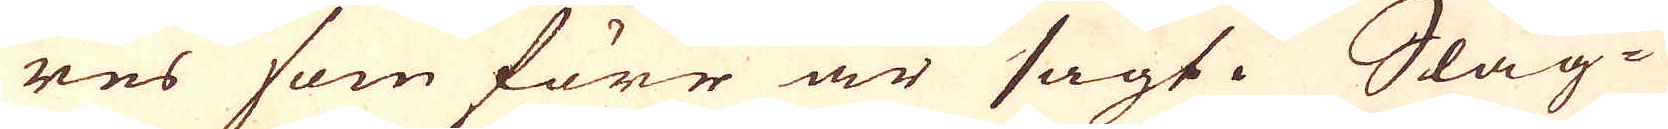res som förr är sagt. Slag-
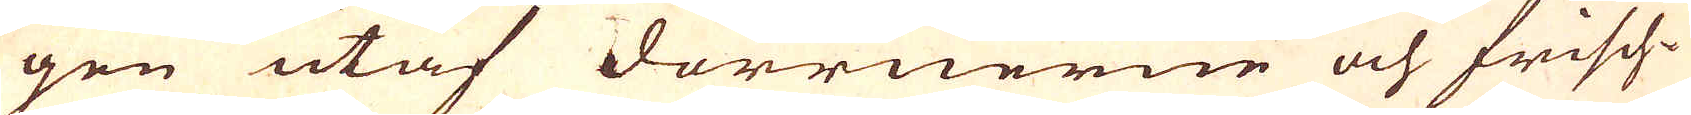gen utaf dörrnerne och frisch-
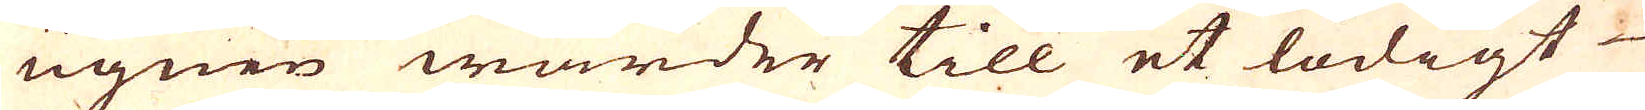ugnen warder till et lödigt
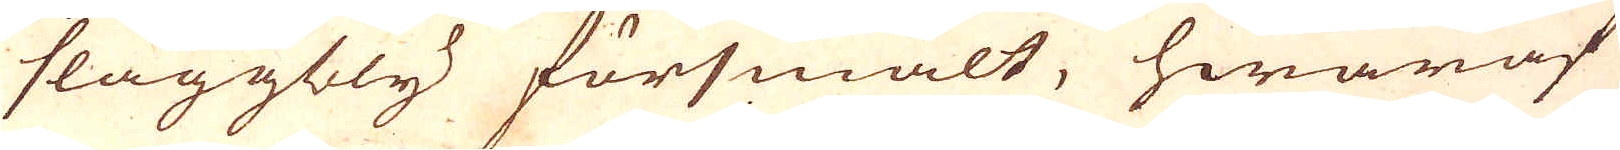slaggbly försmält, hwaraf
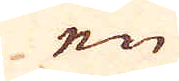en
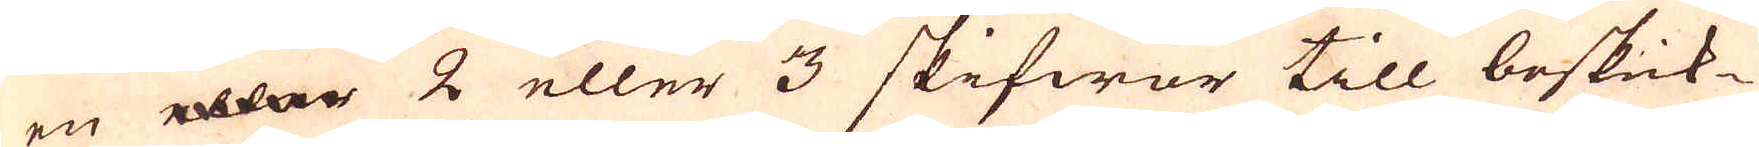en 2 eller 3 skifwor till beskick-
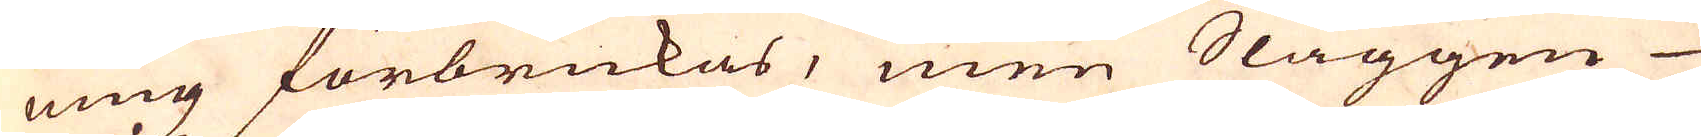ning förbrukas, men Slaggen
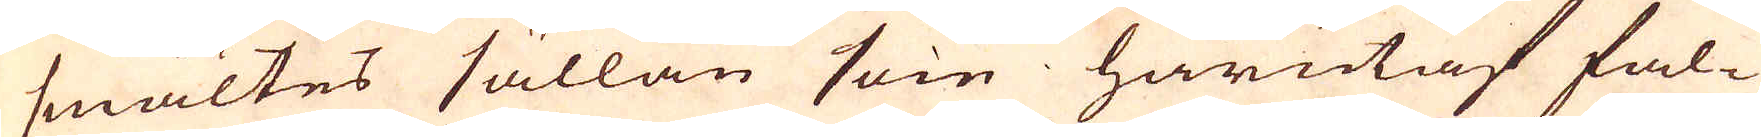smältes sällan som härutaf fal-
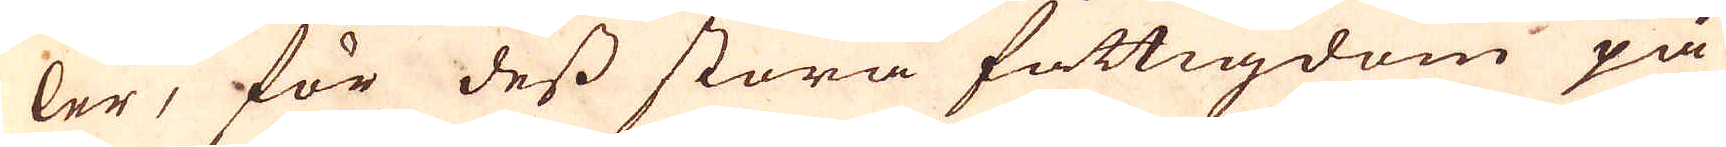ler, för dess stora fattigdom på
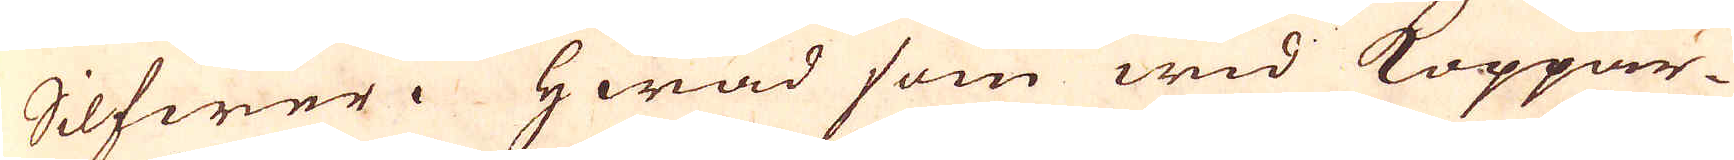Silfwer. Hwad som wid Koppar-
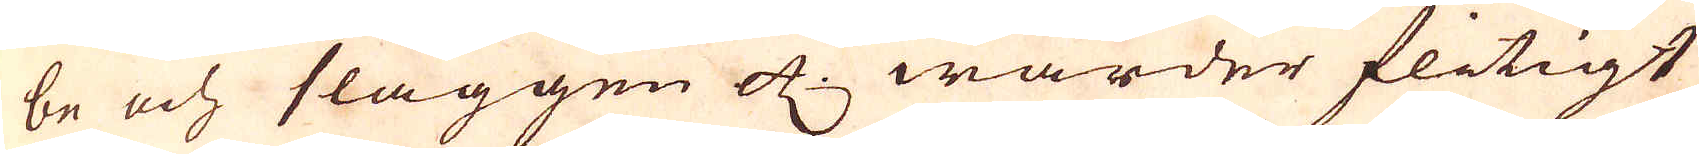be och slaggen etc. warder flitigt
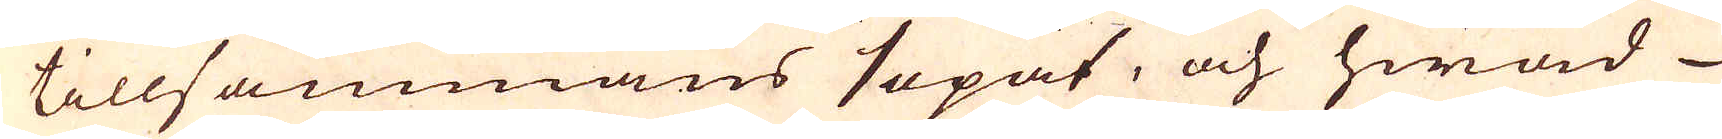tillsammans sopat, och hwad
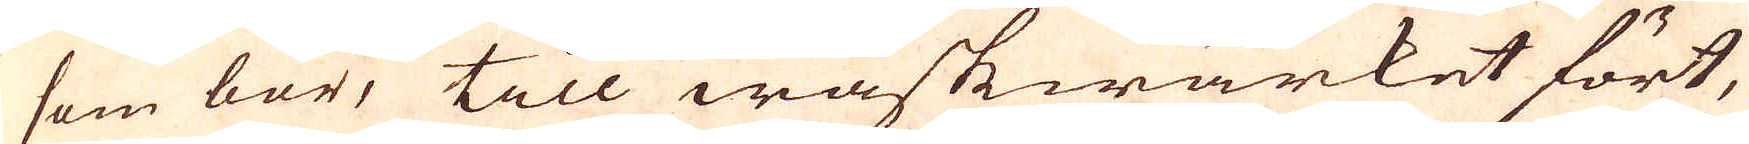som bör, till waskwärket fört,
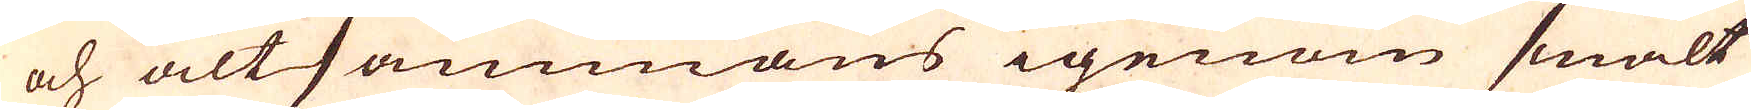och altsammans igenom smält
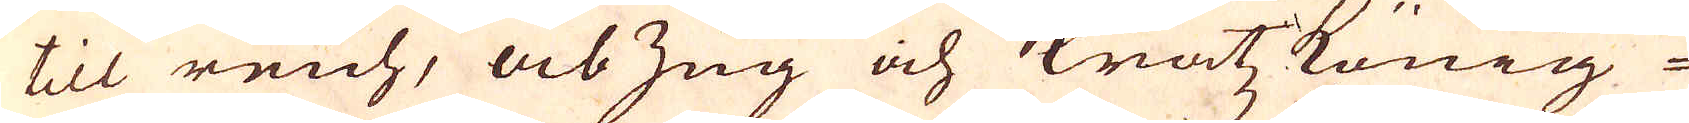till reich, abzug och kratzkönig-
